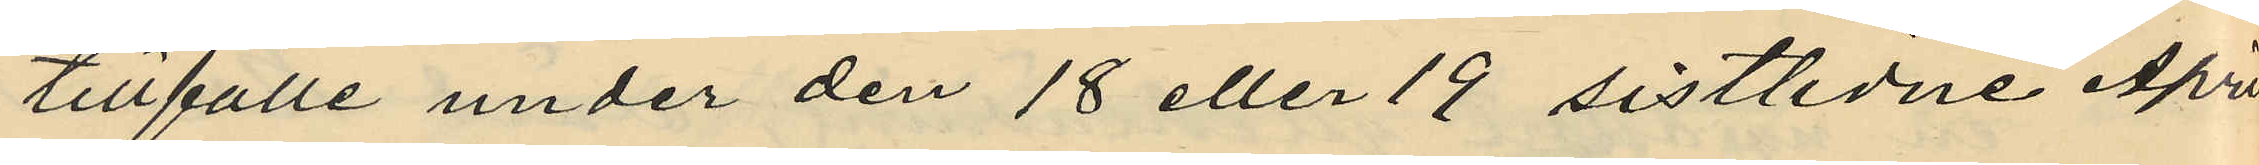tillfälle under den 18 eller 19 sistlidne April
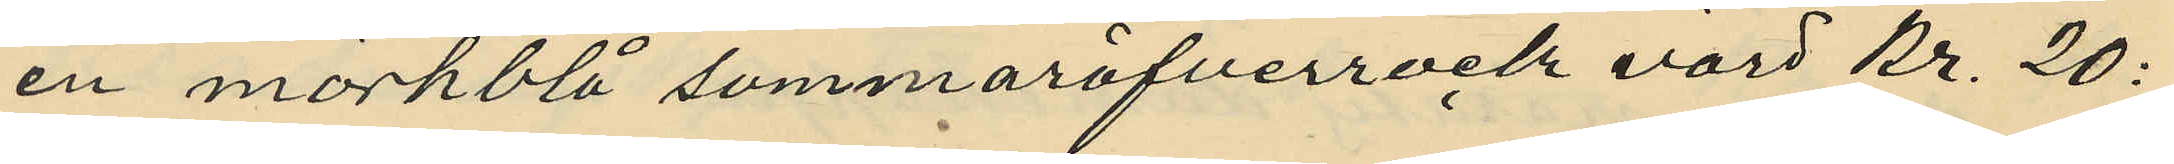en mörkblå sommaröfverrock värd Kr. 20:
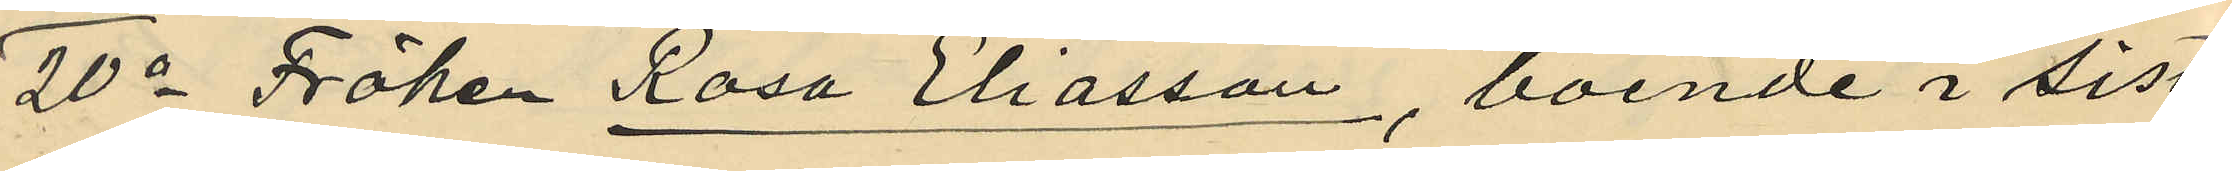20o Fröken Rosa Eliasson, boende i sist¬
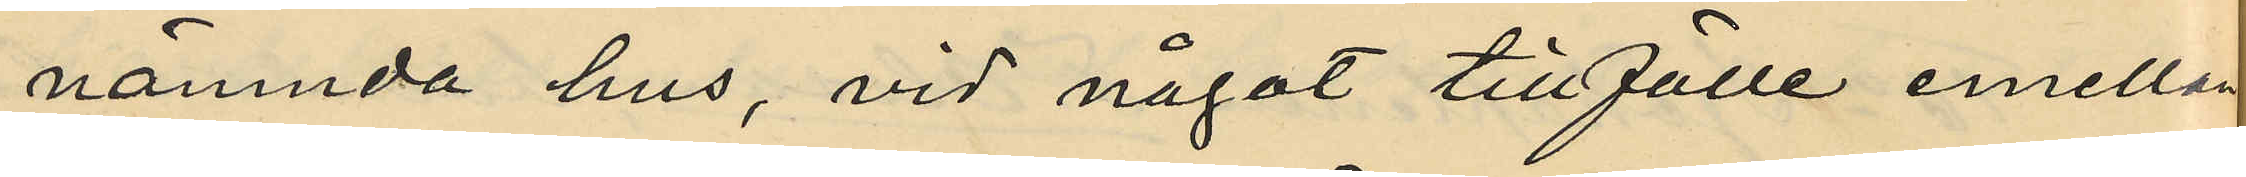nämnda hus, vid något tillfälle emellan
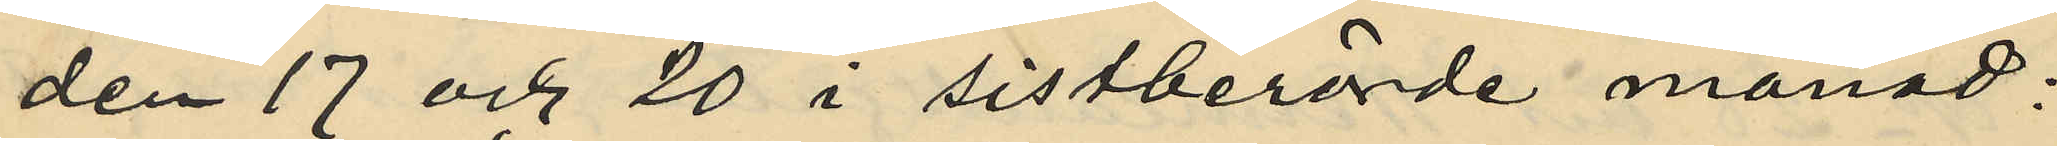den 17 och 20 i sistberörde månad;
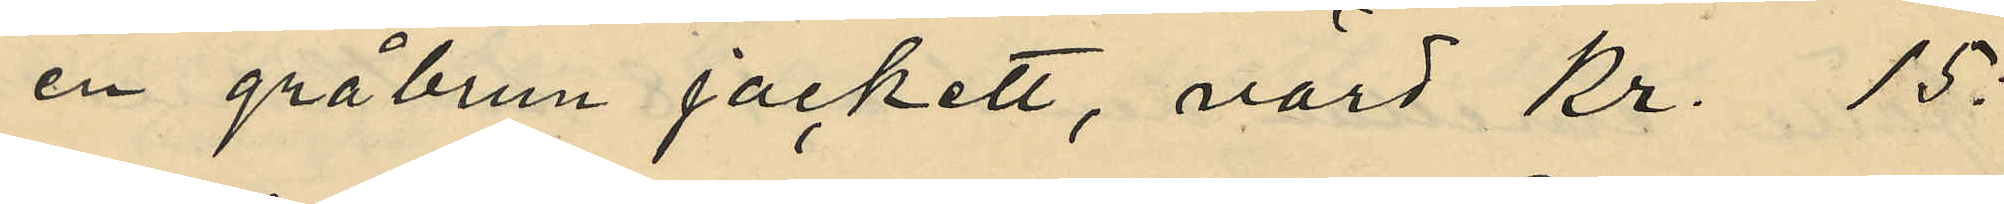en gråbrun jackett, värd Kr. 15:
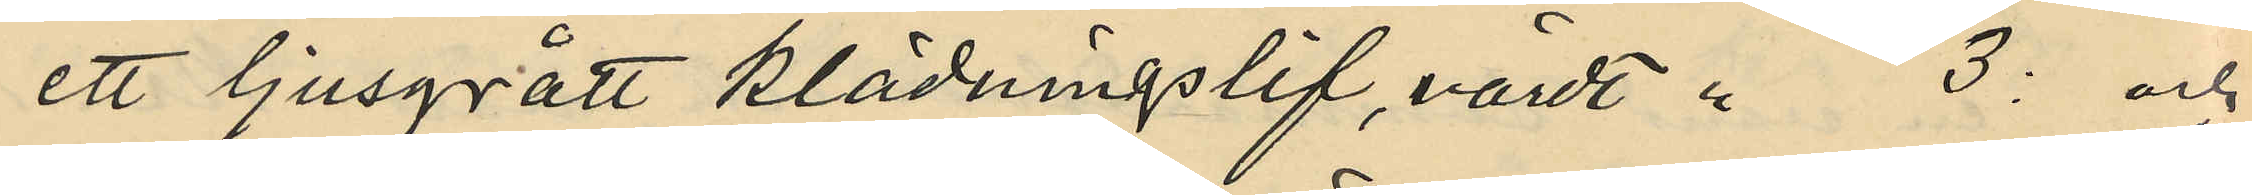ett ljusgrått klädningslif, värdt " 3: och
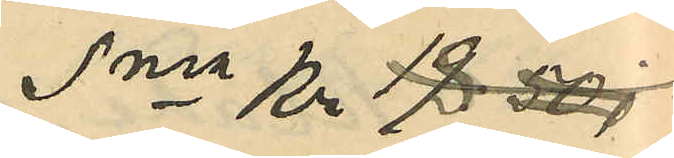Sma Kr 18:
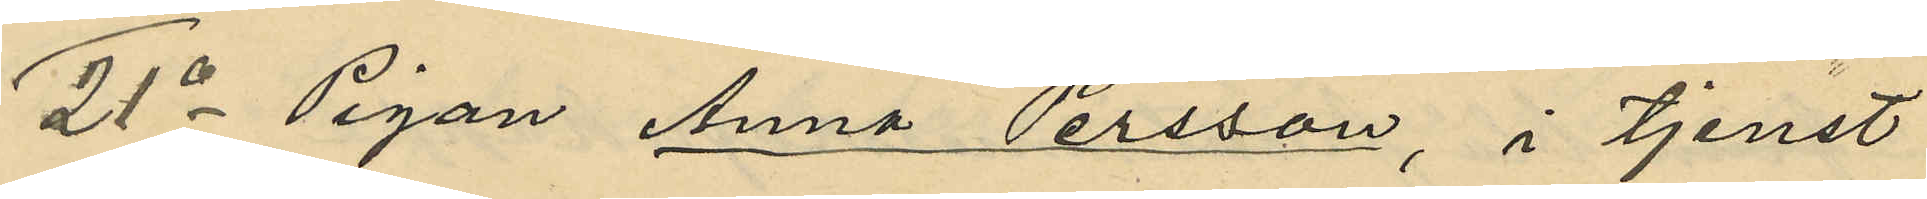21o Pigan Anna Persson, i tjenst
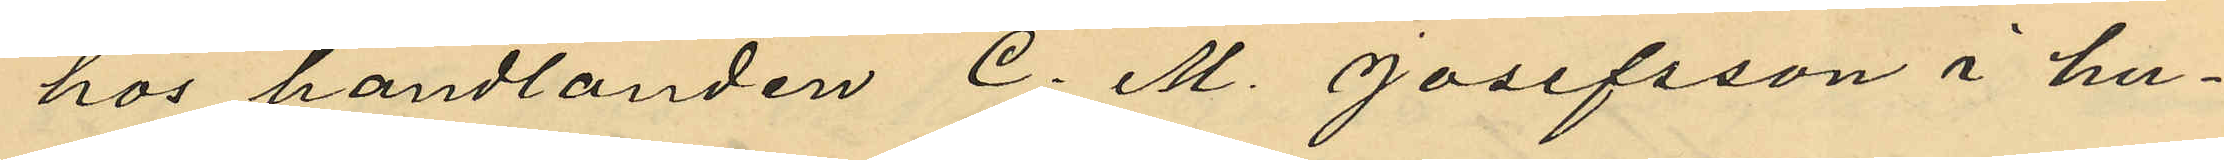hos handlanden C. M. Josefsson i hu¬
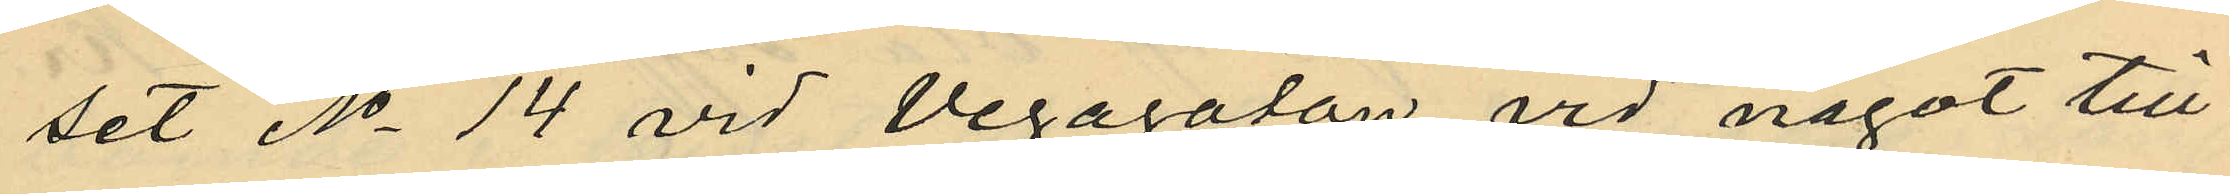set No 14 vid Vegagatan vid något till
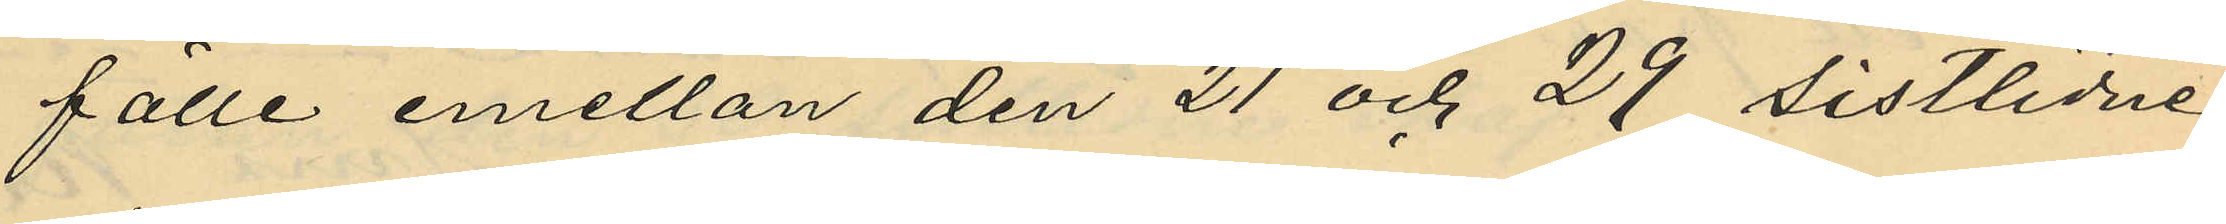fälle emellan den 21 och 29 sistlidne
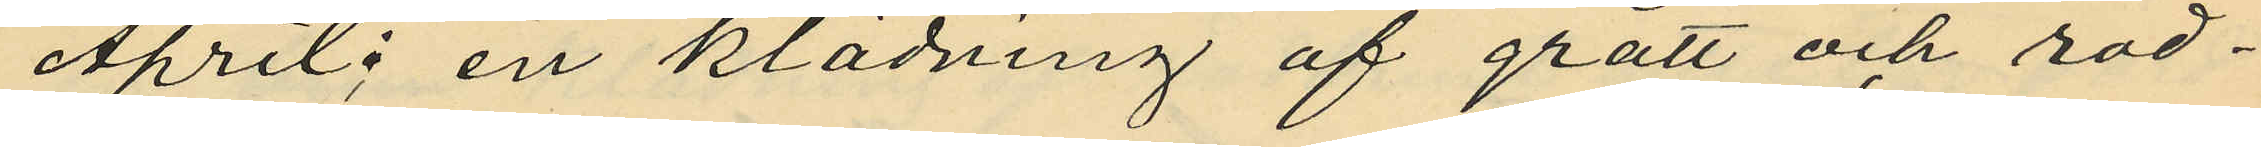April en klädning af grått och röd¬
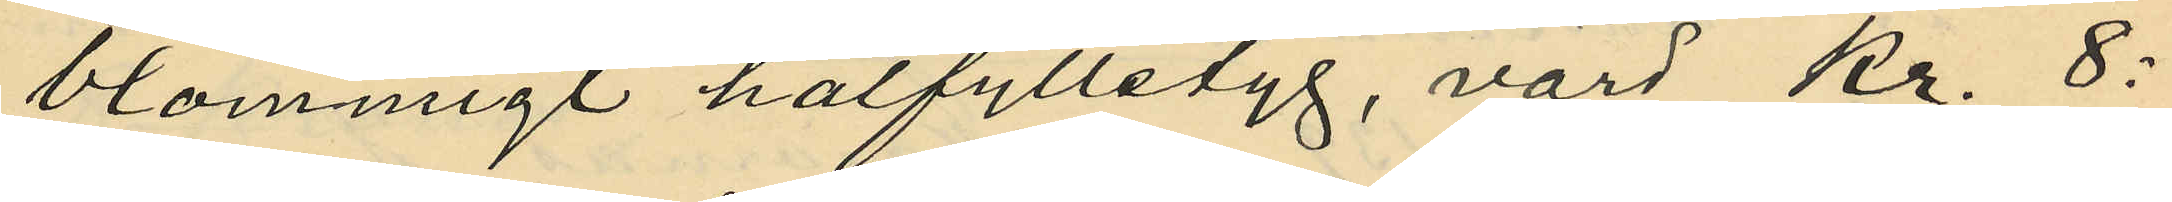blommigt halfylletyg, värd Kr. 8:
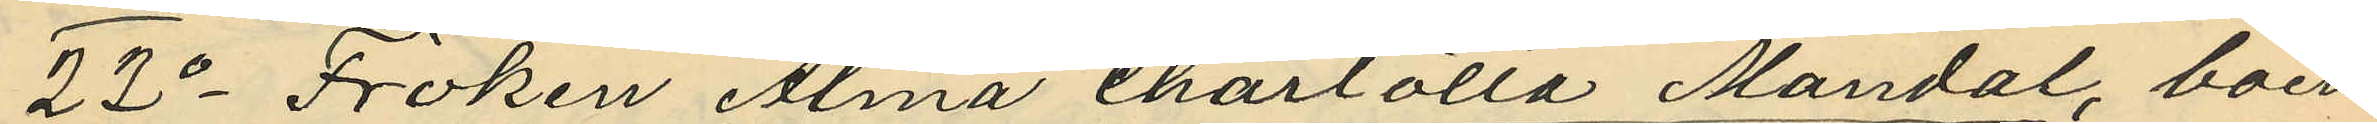22o Fröken Alma Charlotta Mandal, boen¬
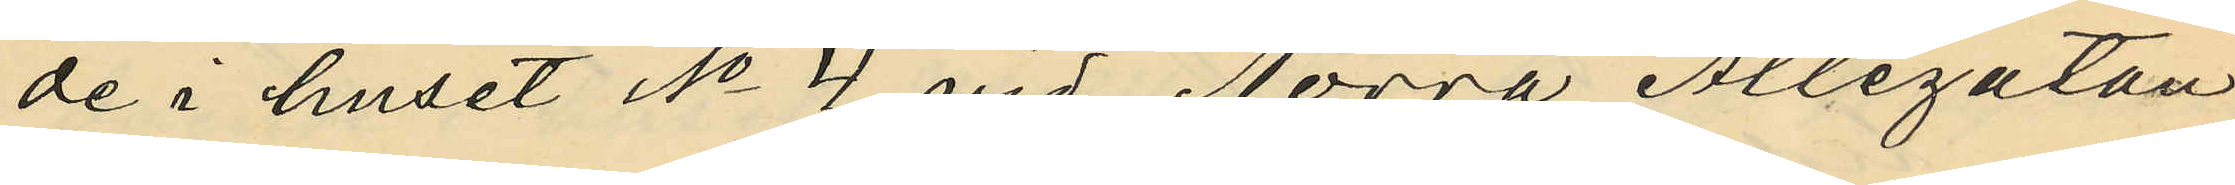de i huset No 4 vid Norra Allégatan
